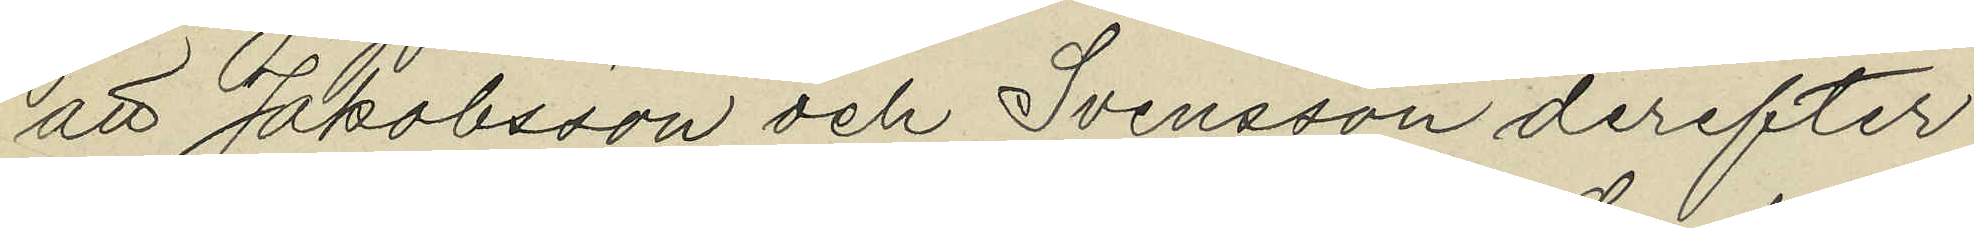att Jakobsson och Svensson derefter
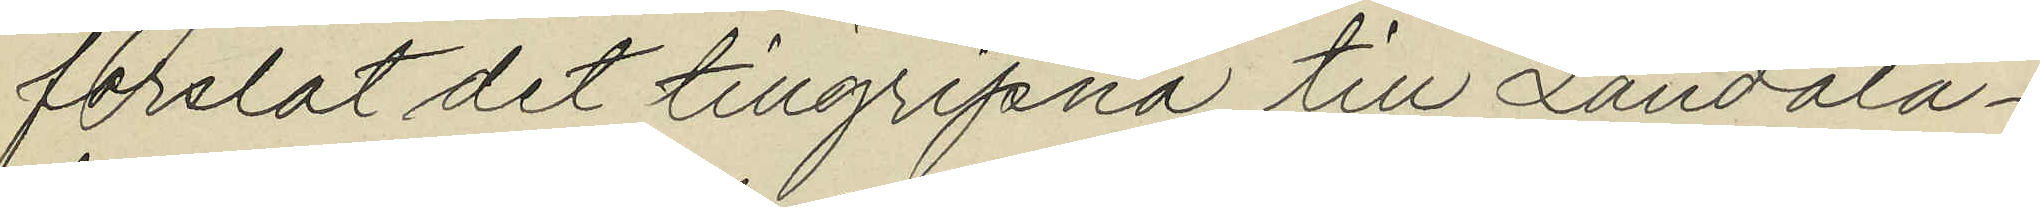forslat det tillgripna till Landala¬
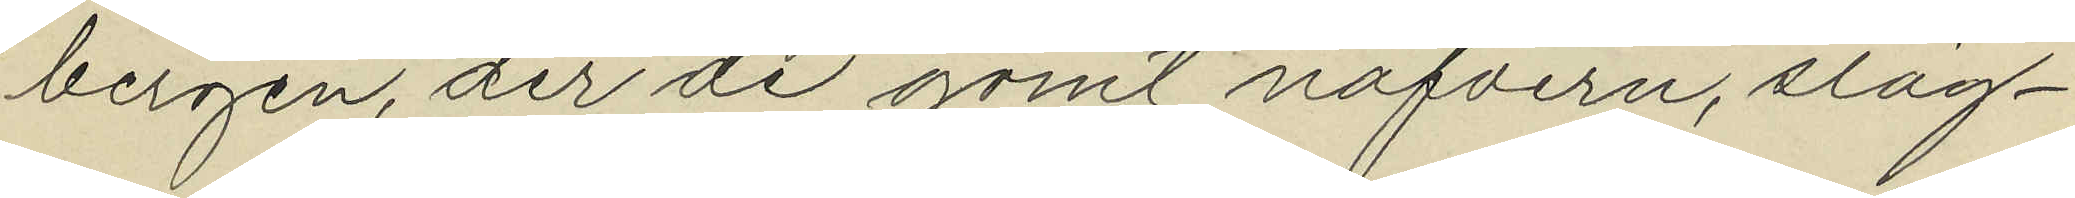bergen, der de gömt nafvern, släg¬
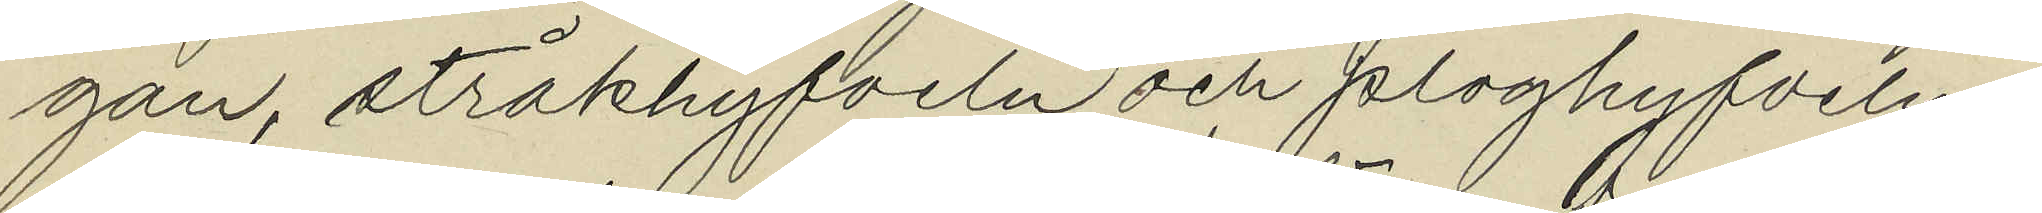gan, stråkhyfveln och ploghyfveln;
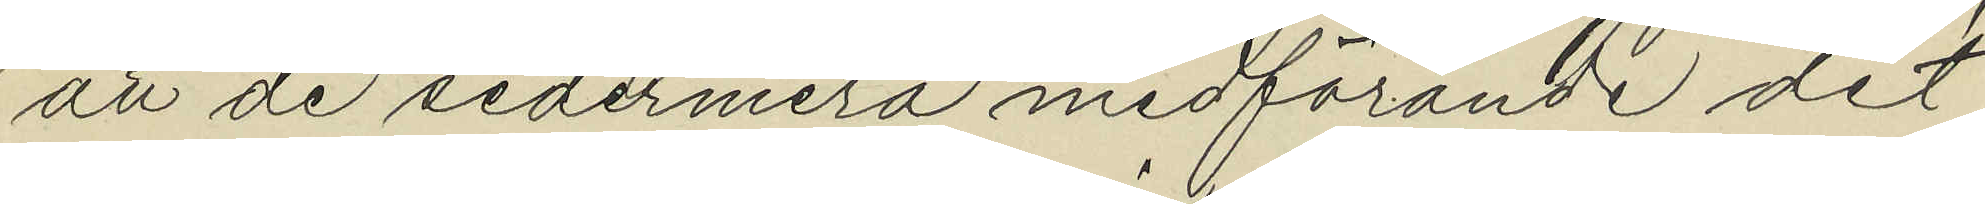att de sedermera medförande det
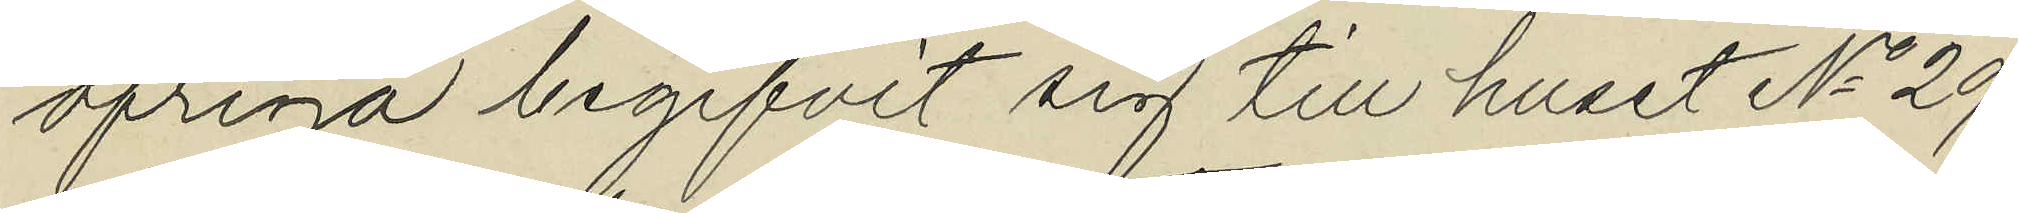öfriga begifvit sig till huset No 29
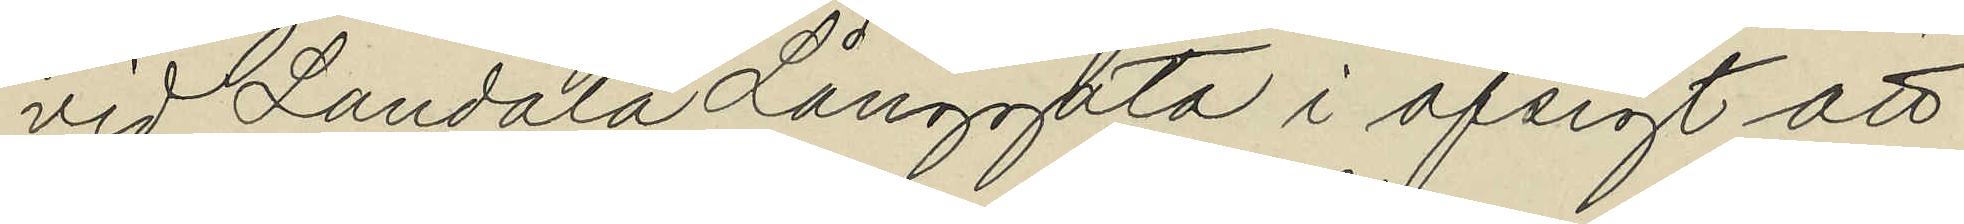vid Landala Långgata i afsigt att
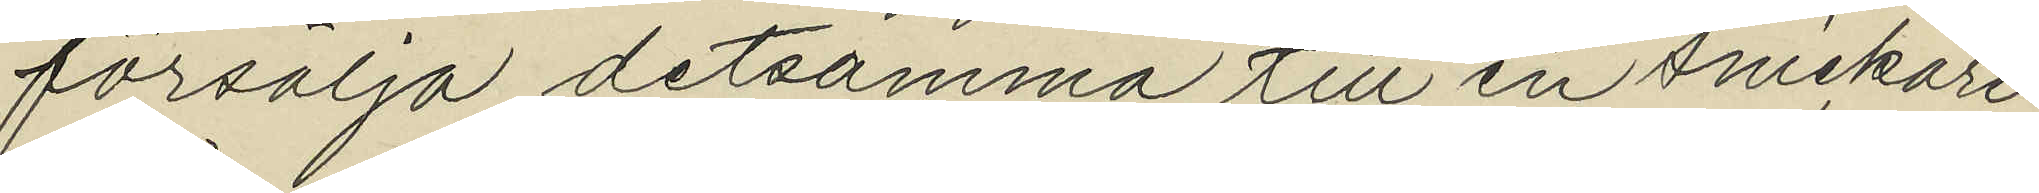försälja detsamma till en snickare
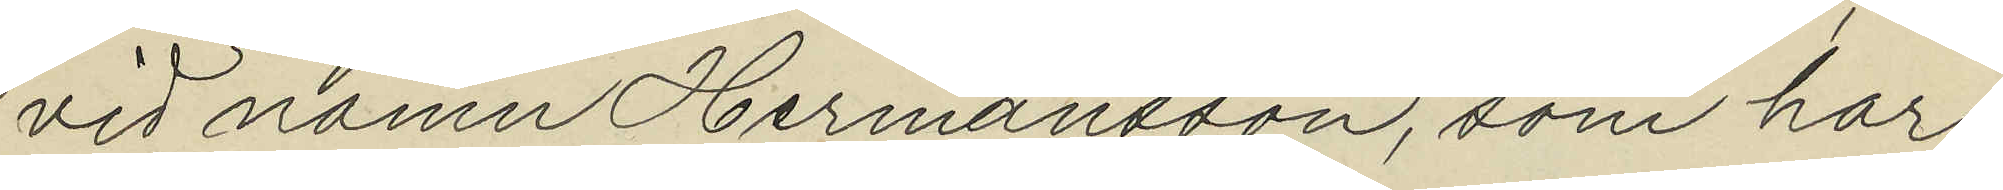vid namn Hermansson, som har
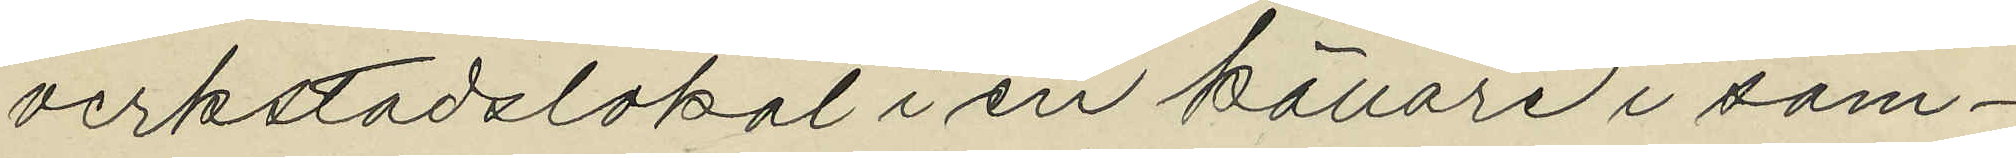verkstadslokal i en källare i sam¬
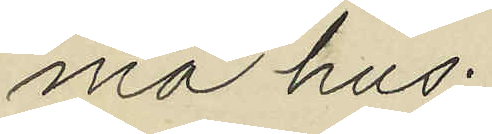ma hus.
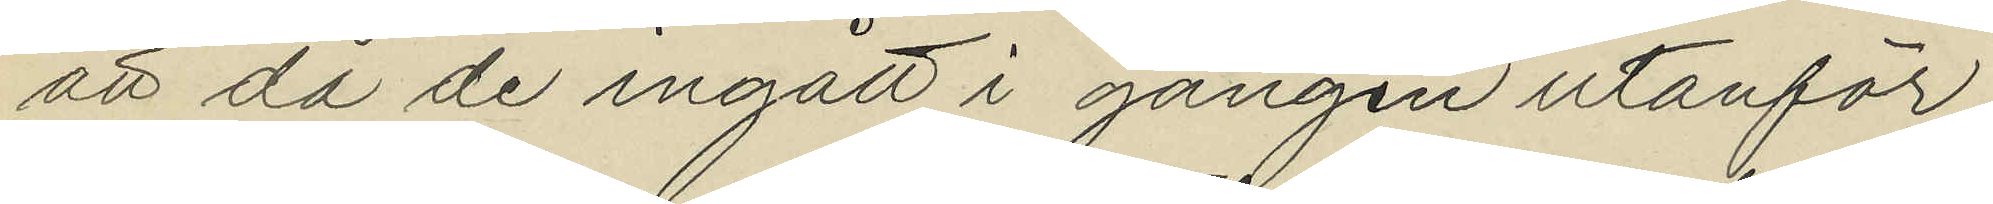att då de ingått i gången utanför
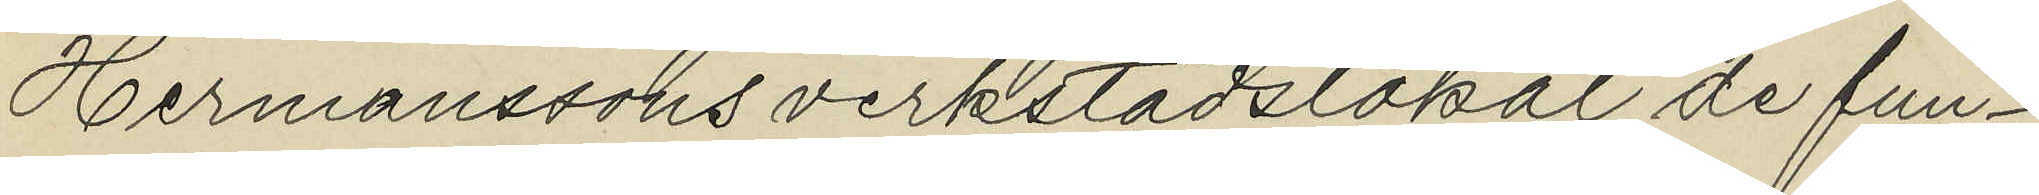Hermanssons verkstadslokal de fun¬
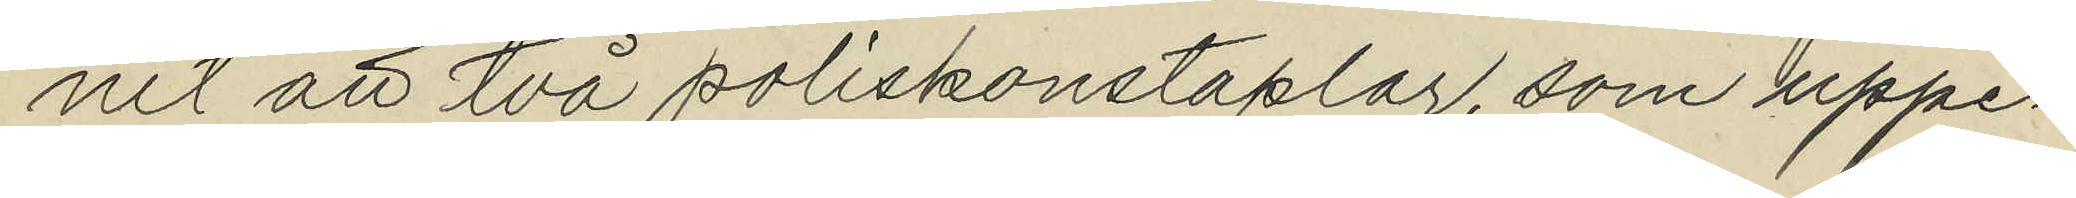nit att två poliskonstaplar, som uppe¬
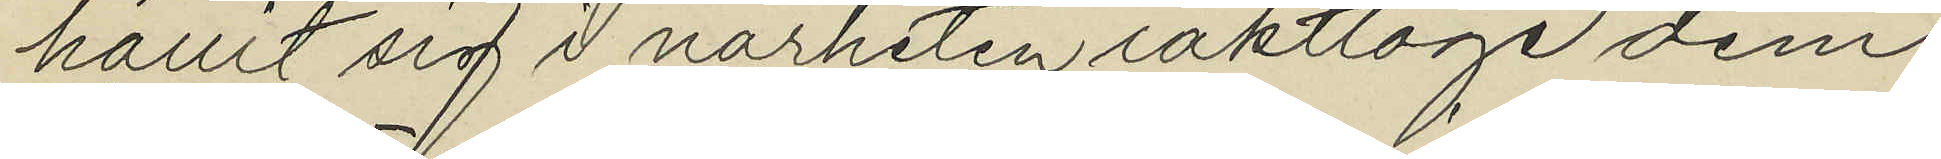hållit sig i närheten iakttoge dem
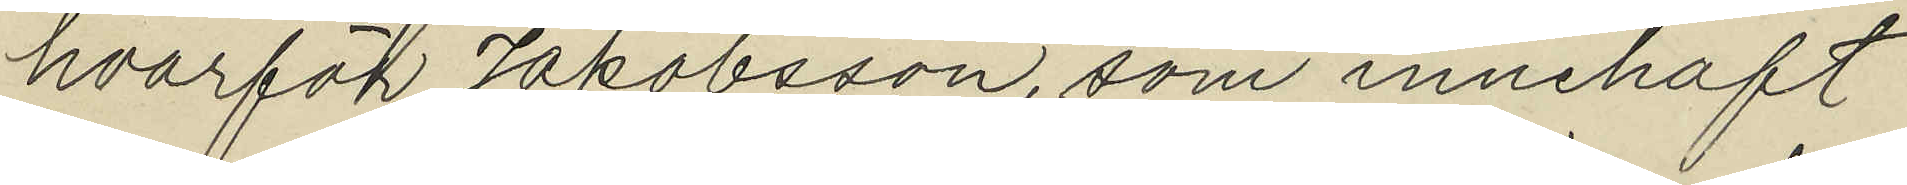hvarför Jakobsson, som innehaft
